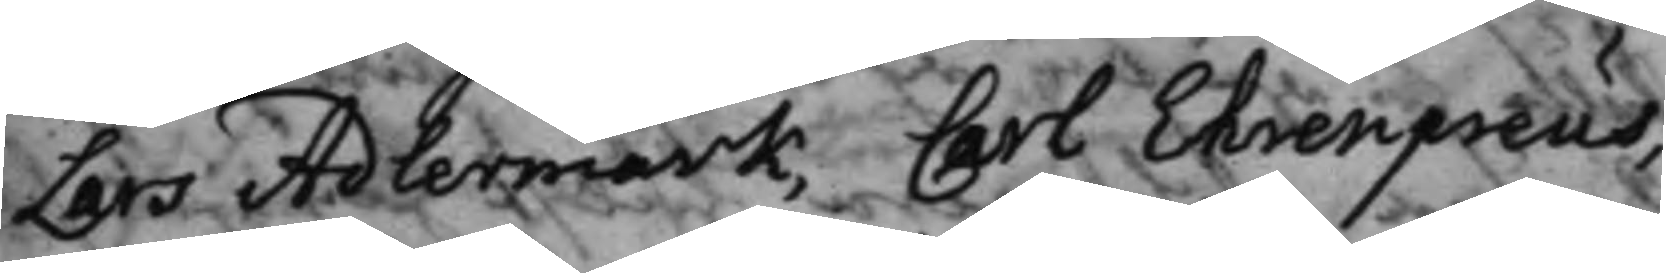Lars Adlermark, Carl Ehrenpreus,
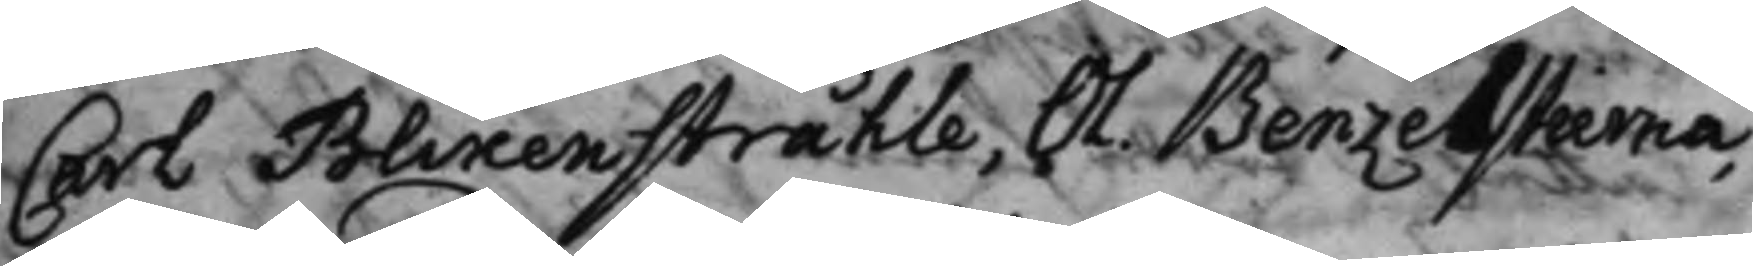Carl Blixenstråhle, Ol. Benzelstierna,
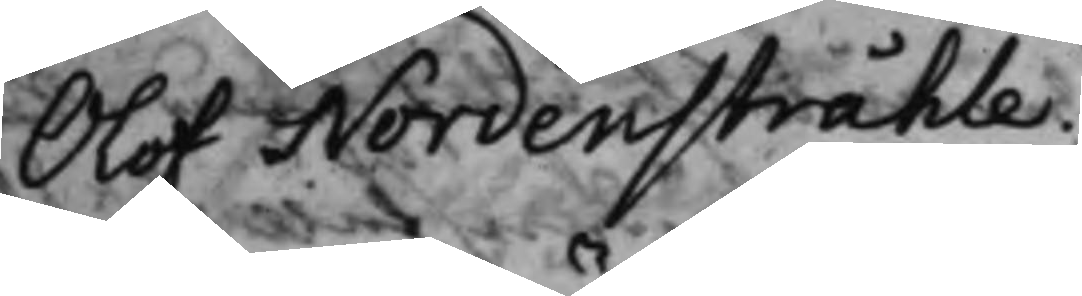Olof Nordenstråhle.
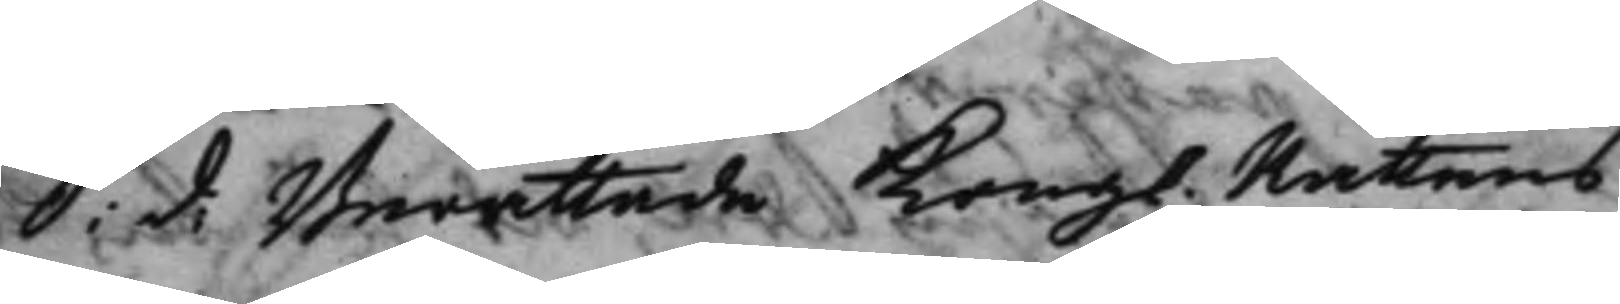S. d. Berättade Kong. Rättens
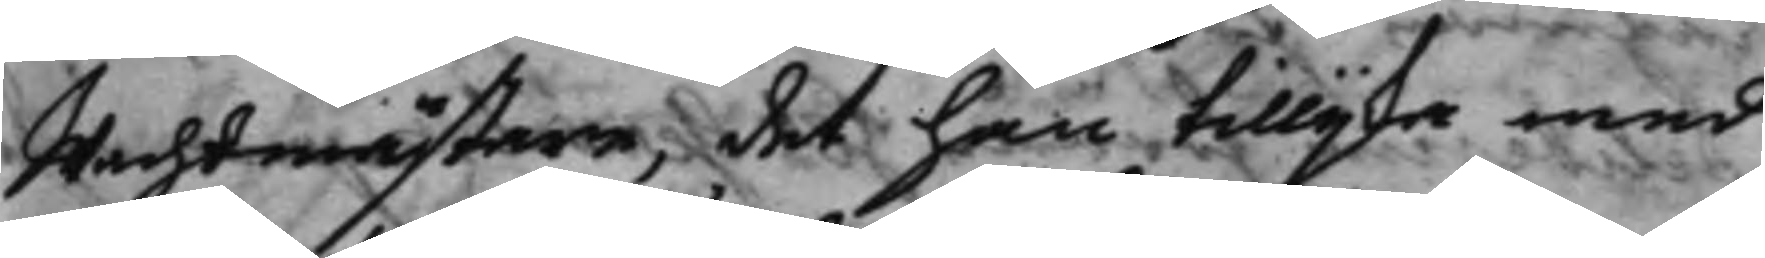Wachtmästare, det han tillijka med
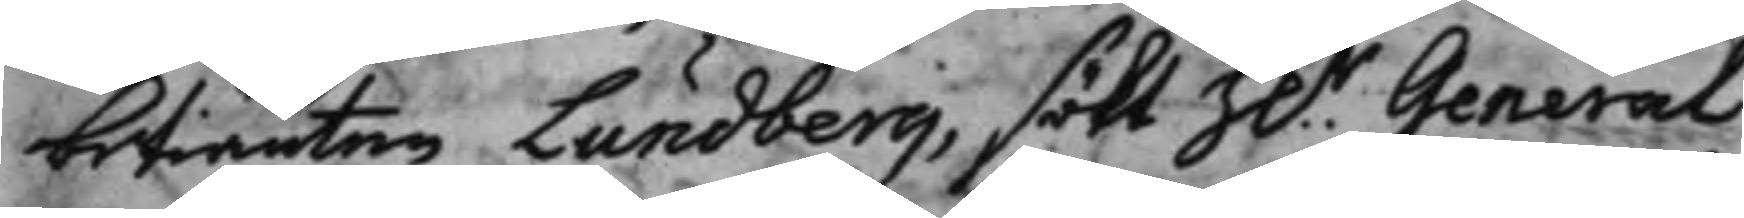betiänten Lundberg, sökt h.r General
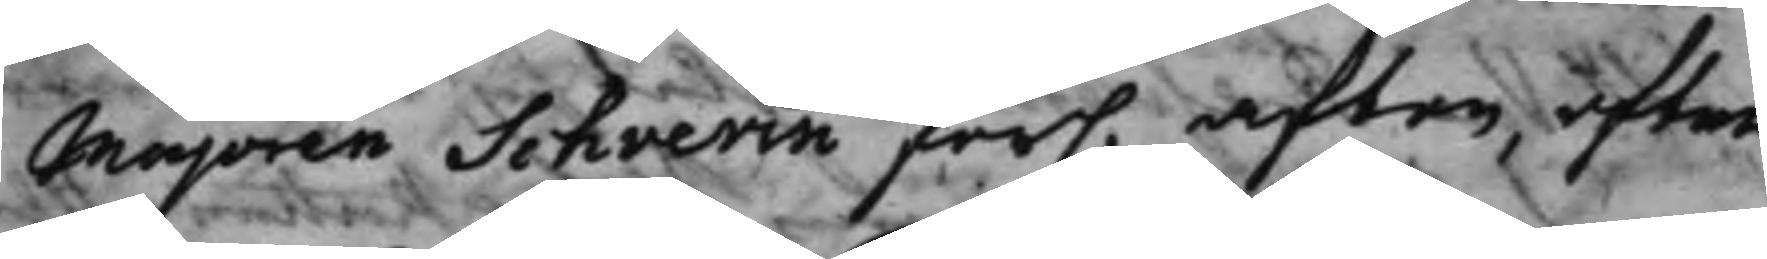Majoren Schverin för. afton, efter
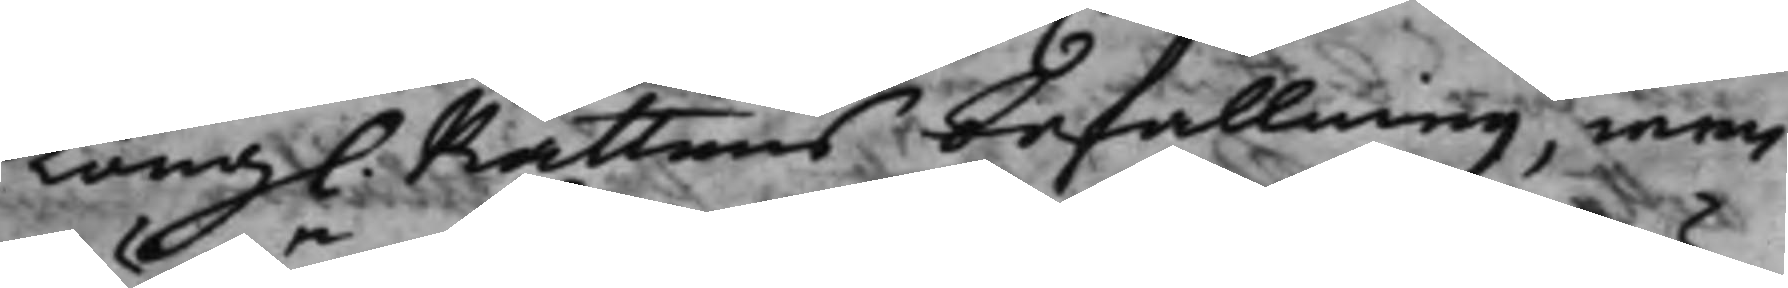Kong. Rättens befallning, men
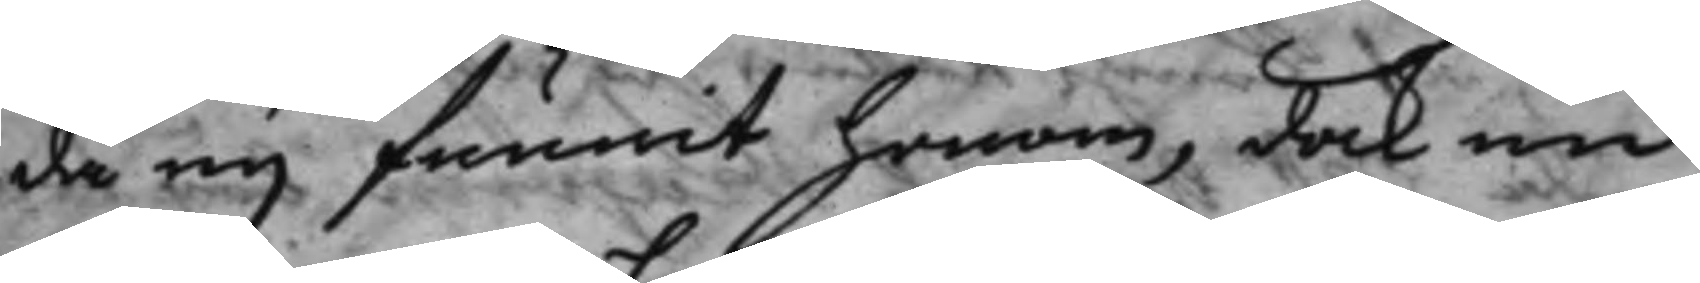då eij funnit honom, dock nu
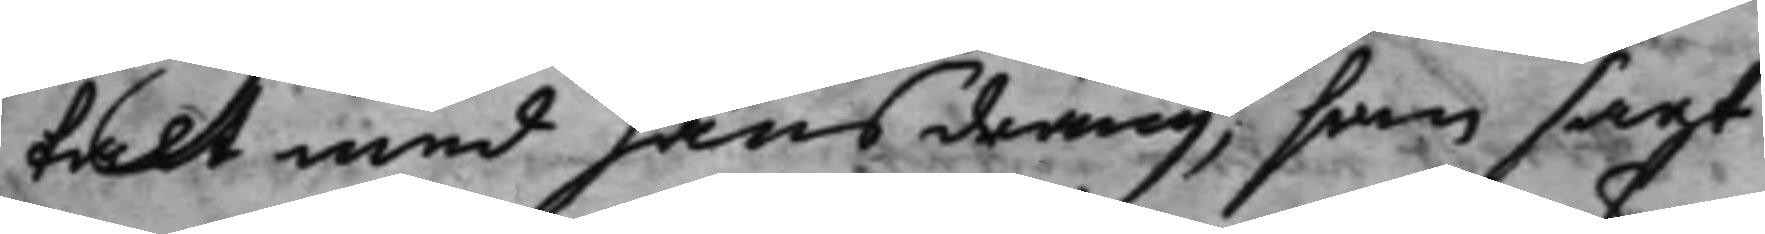talt med hans dräng, som sagt
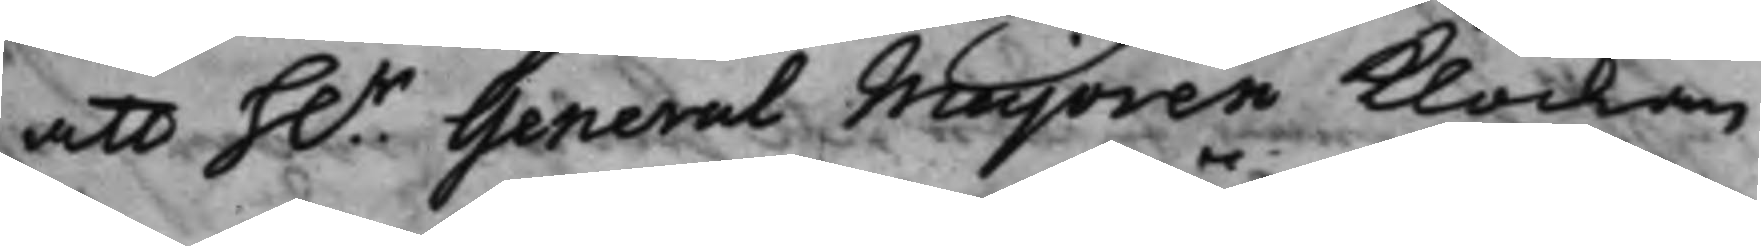att H.r General Majoren klockan
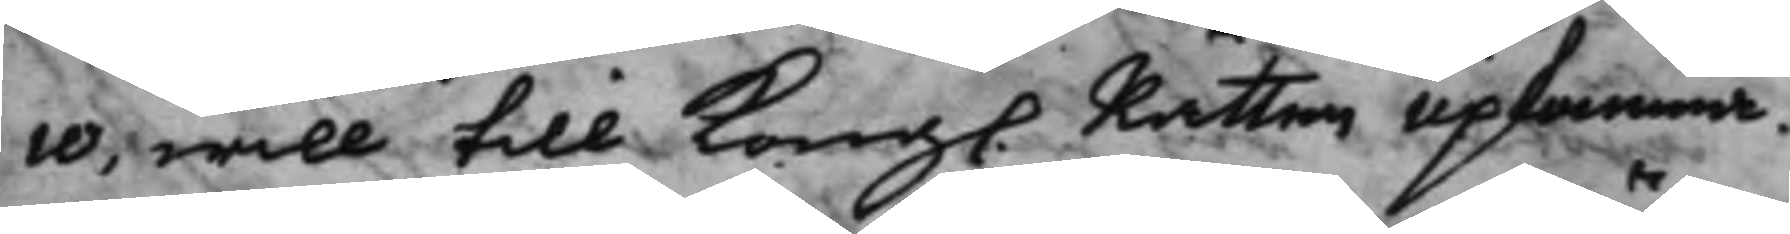10, will till Kongl. Rätten upkomma.
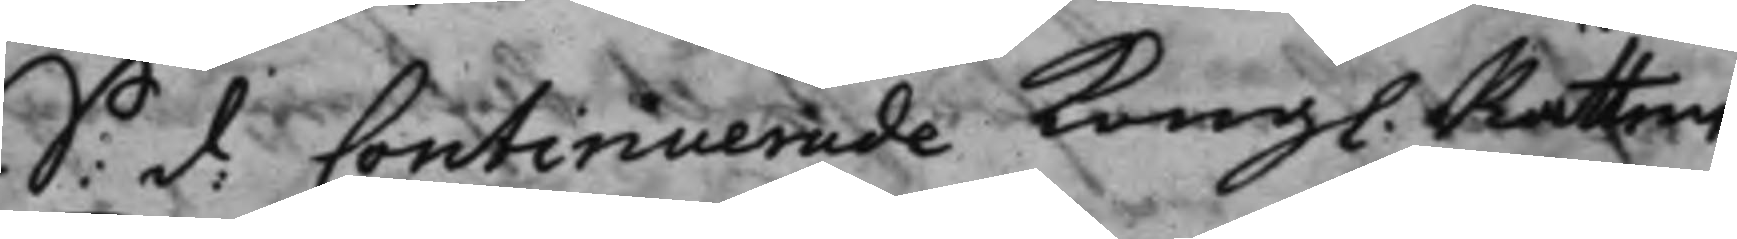S: d: Continuerade Kongl. Rätten
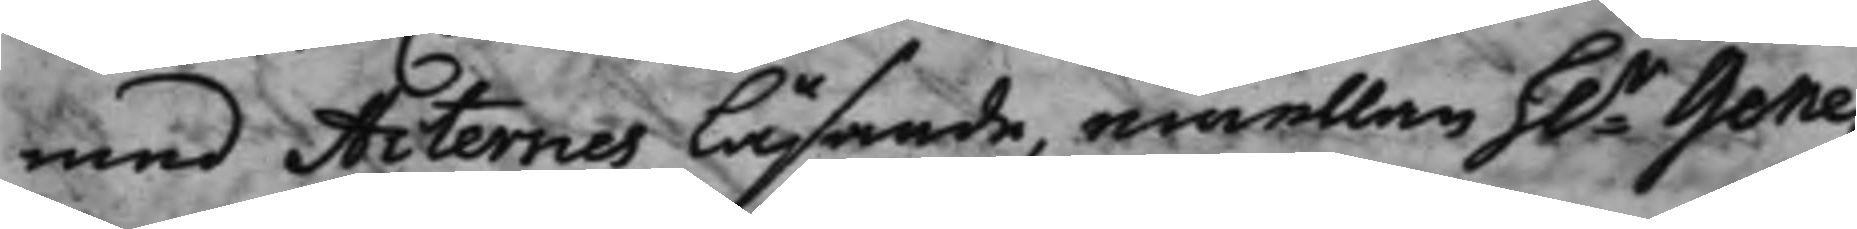med Acternes läsande, emellan h.r Gene¬
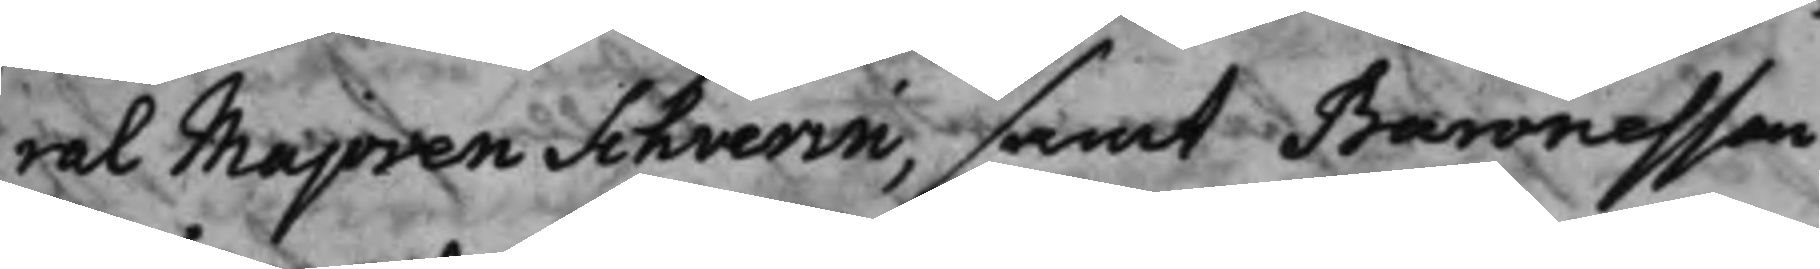ral Majoren Schverin, samt Baronessan
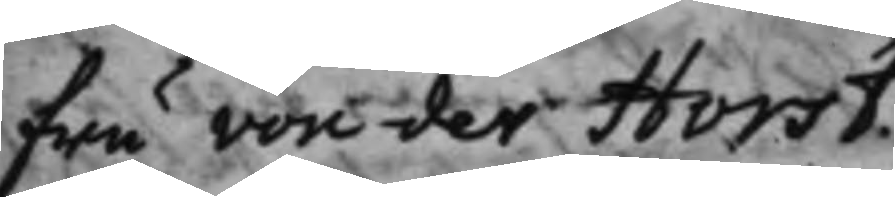fru von der Horst.
